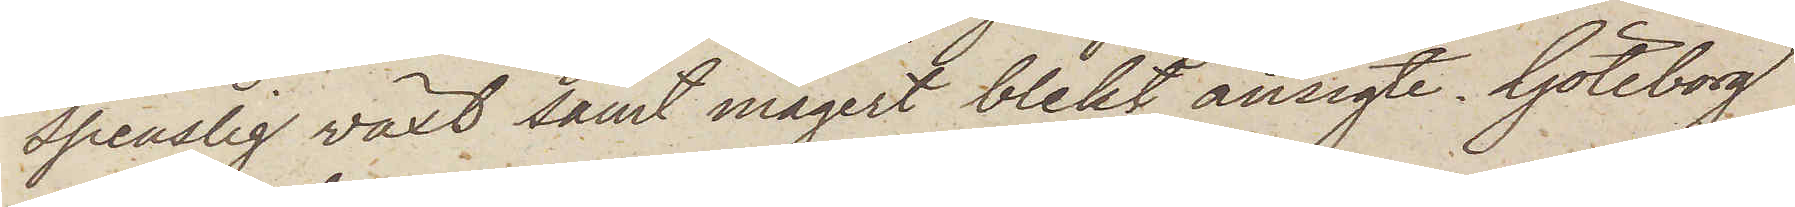spenslig växt samt magert blekt ansigte. Göteborg
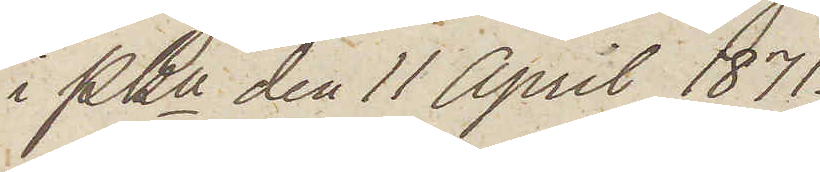i Pkn den 11 April 1871.
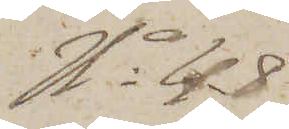No 48
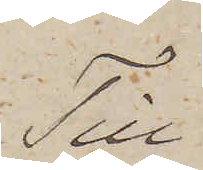Till
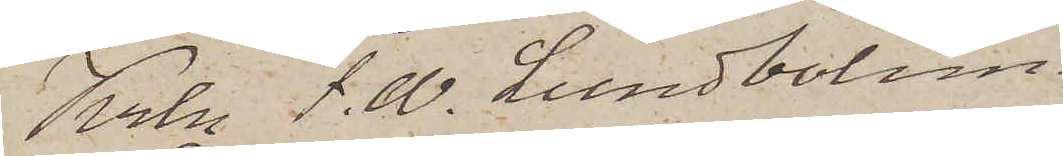Krln J. W. Lundbohm
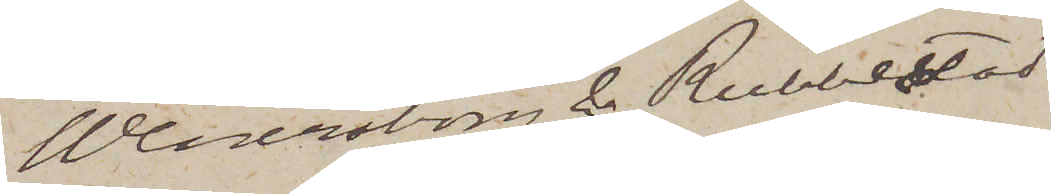Wenersborg & Rubbestad
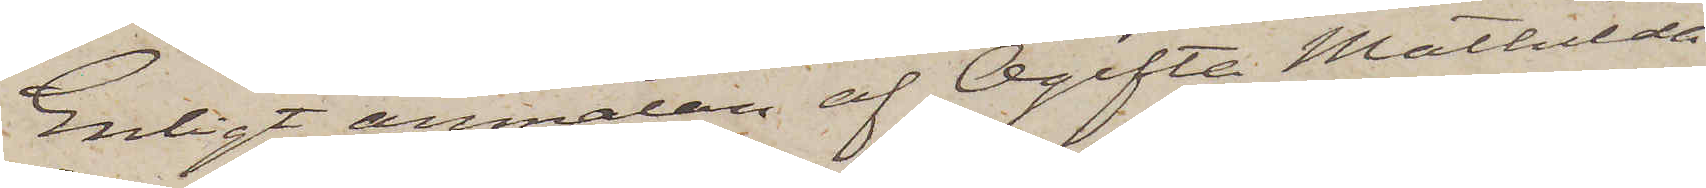Enligt anmälan af Ogifta Mathilda
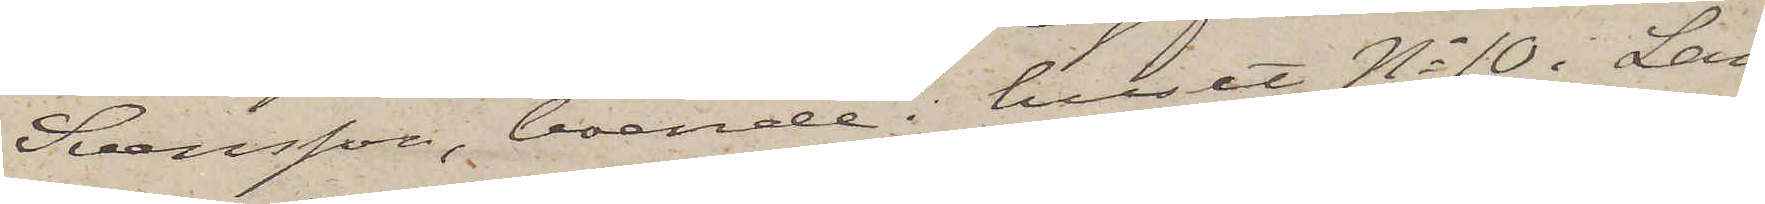Svensson, boende i huset No 10 i Lan¬
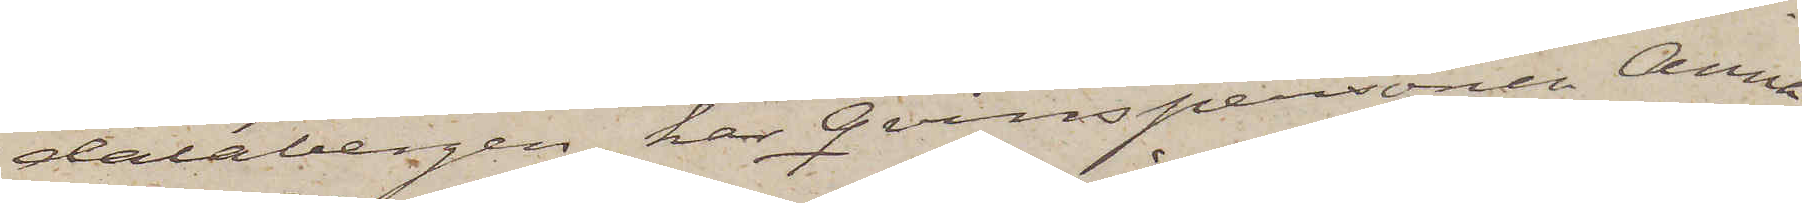dalabergen, har Qvinspersonen Anna
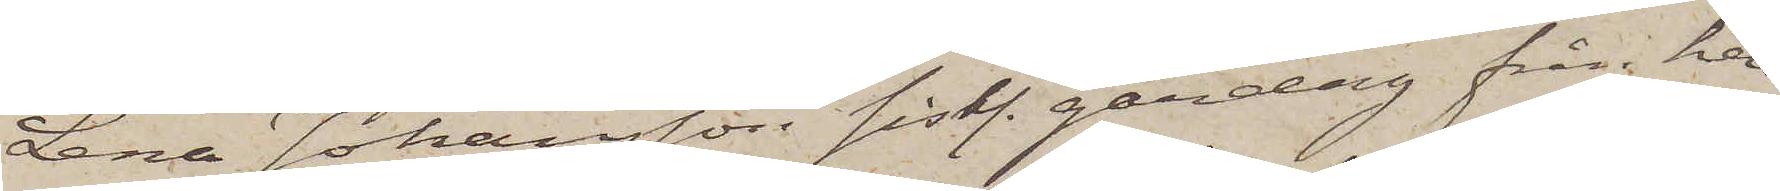Lena Johansson sistl. gårdag från hen¬
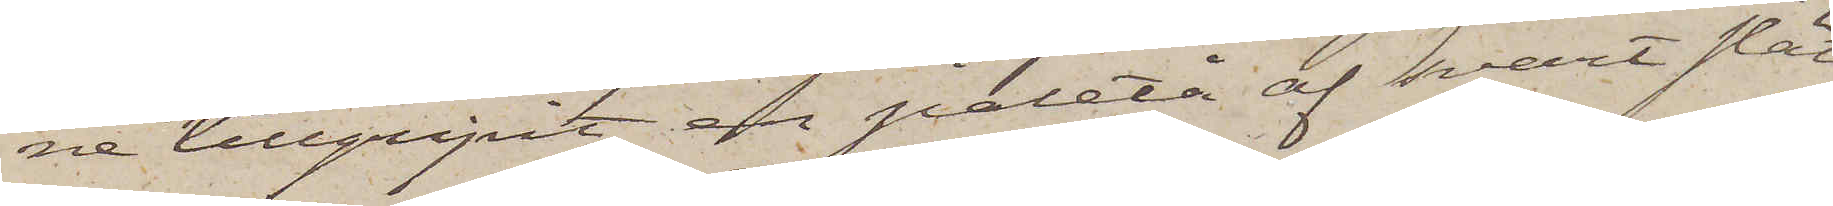ne tillgripit en paletå af svart slät
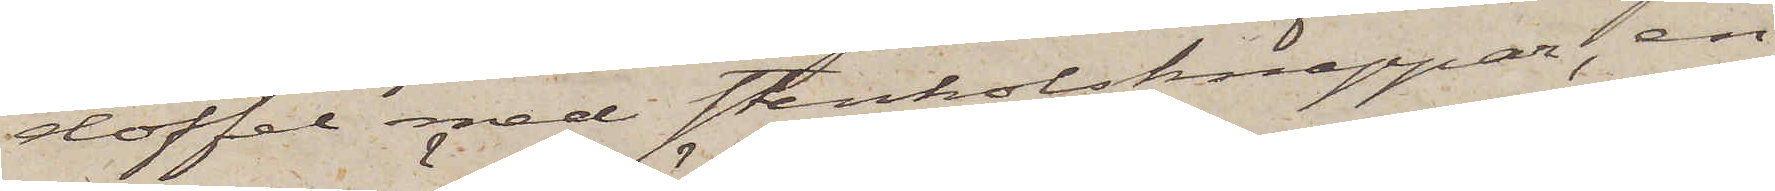doffel med stenkolsknappar, en
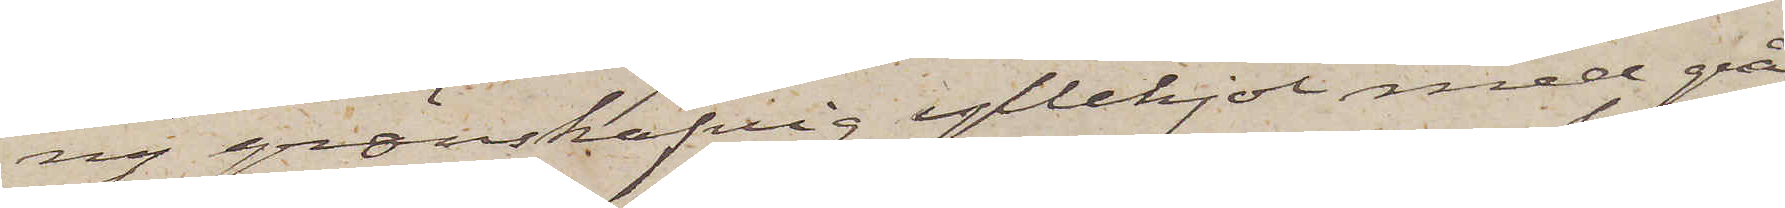ny grönskäfvig yllekjol med grå
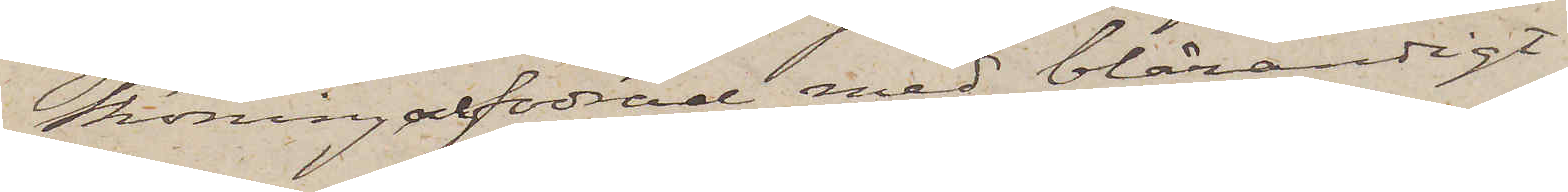skoning och fodrad med blårandigt
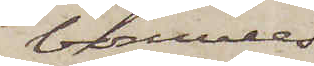bomulls¬
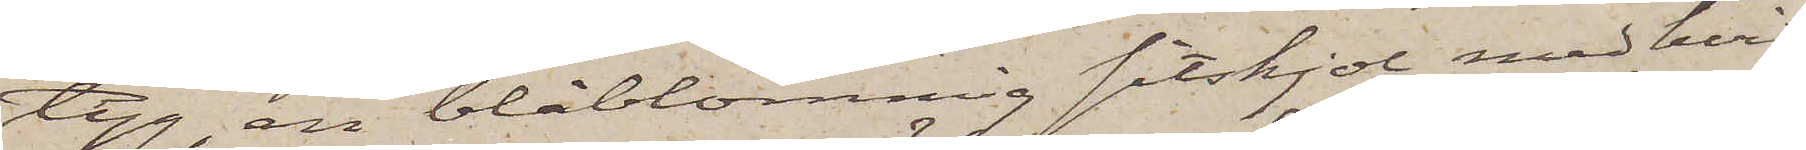tyg, en blåblommig sitskjol med hvit
